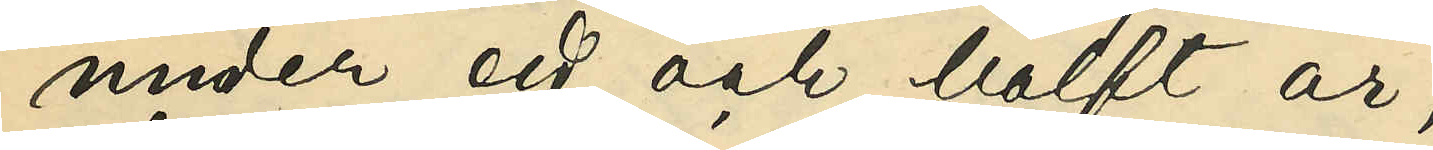under ett och halft år;
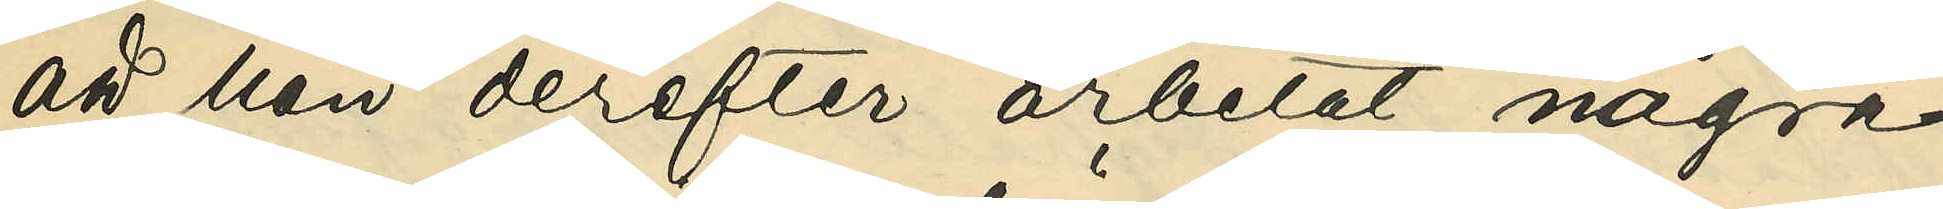att han derefter arbetat några
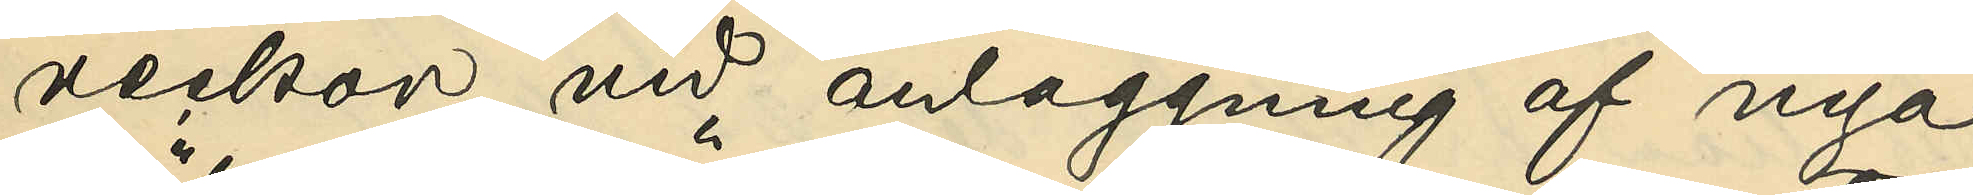veckor vid anläggning af nya
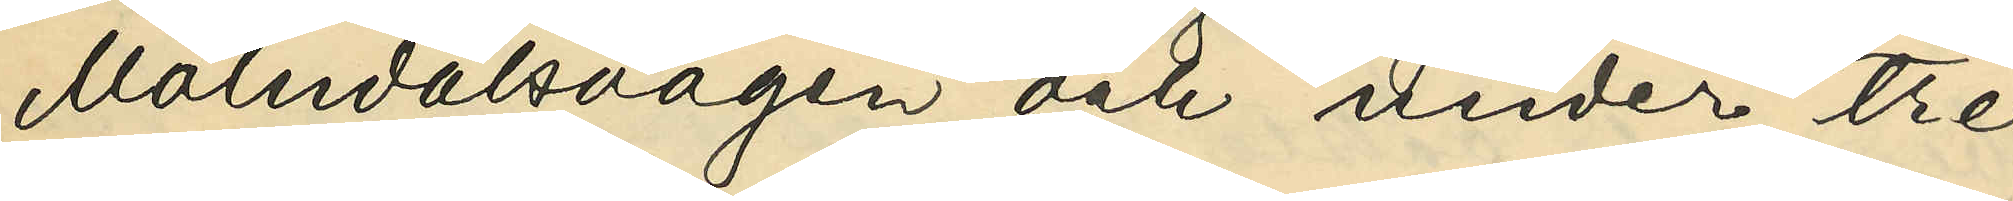Mölndalsvägen och under tre
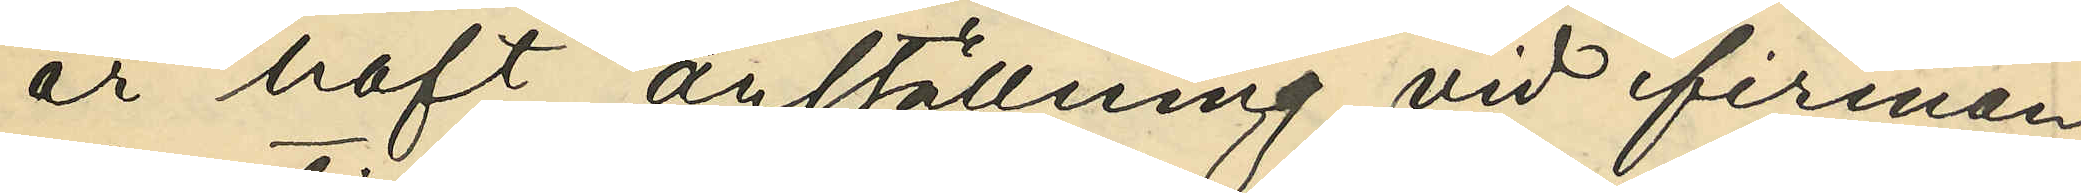år haft anställning vid firman
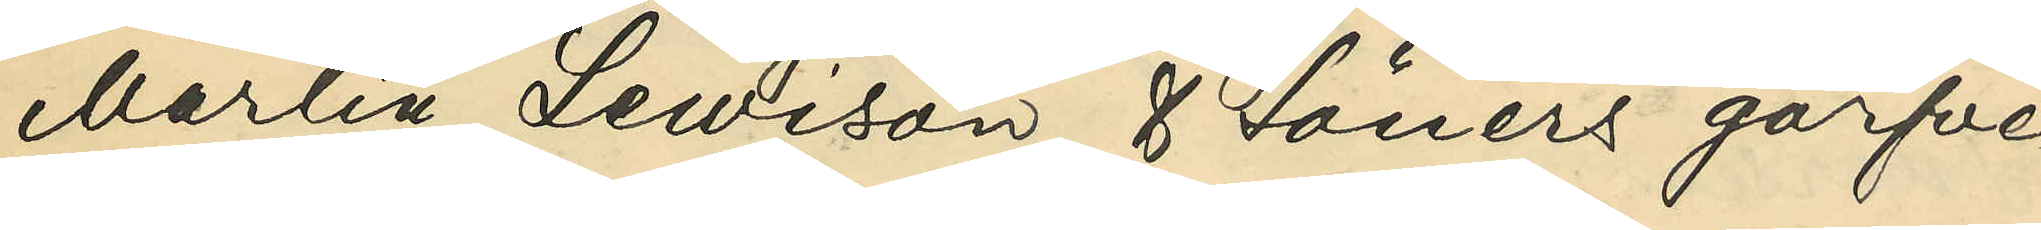Martin Lewison & Söners garfve¬
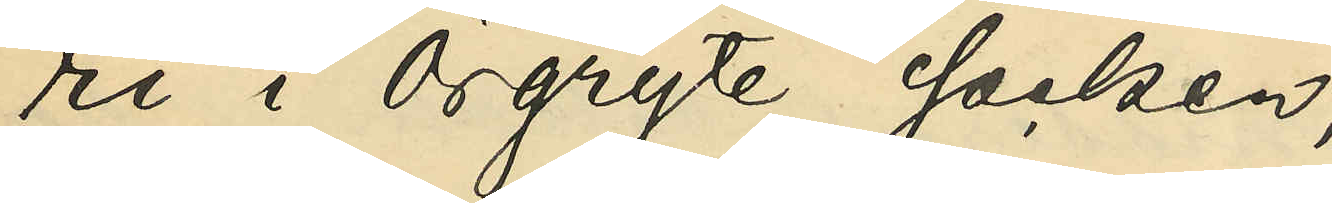ri i Örgryte socken;
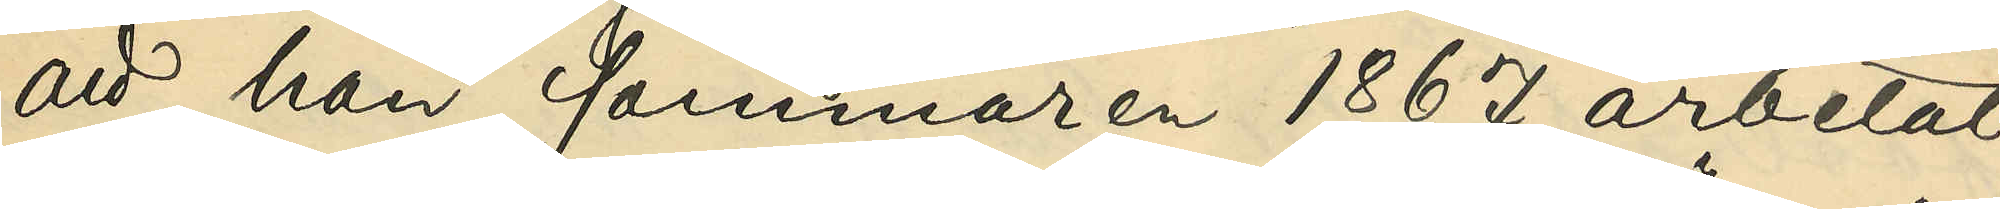att han sommaren 1867 arbetat
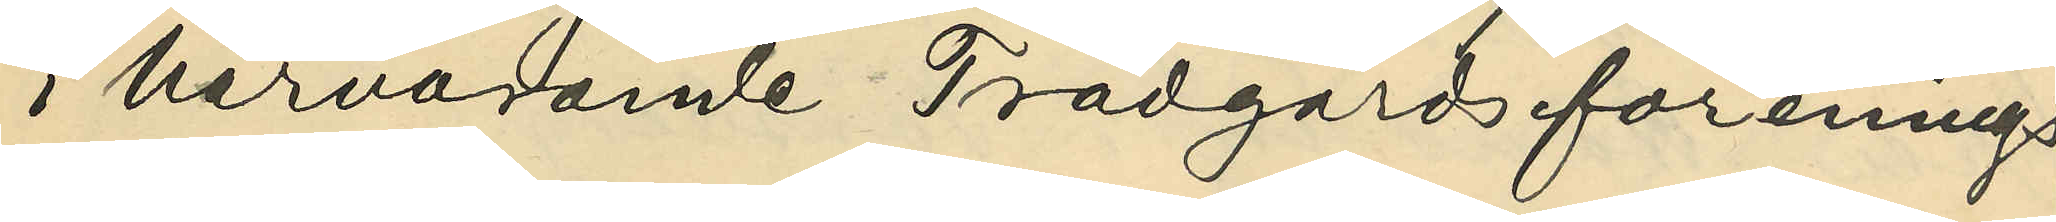i härvarande Trädgårdsförenings
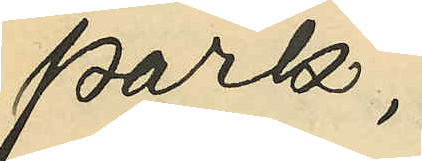park;
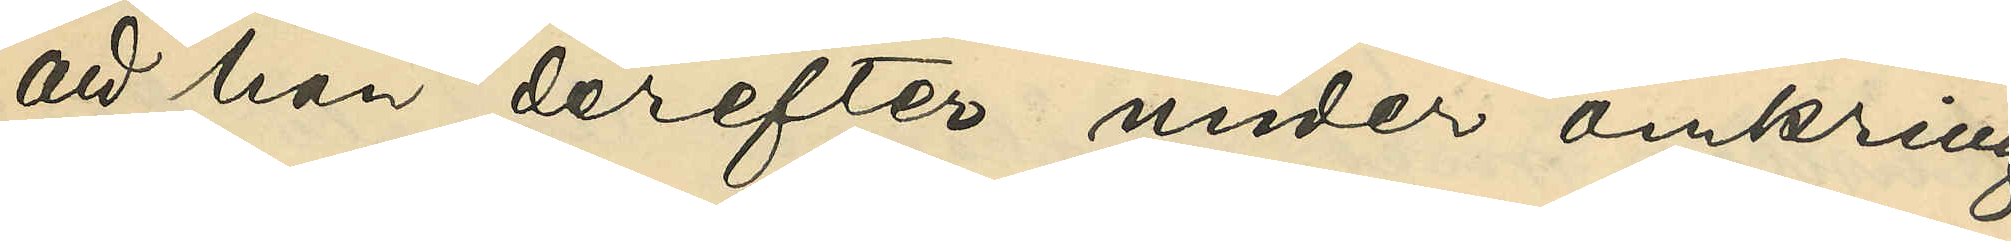att han derefter under omkring
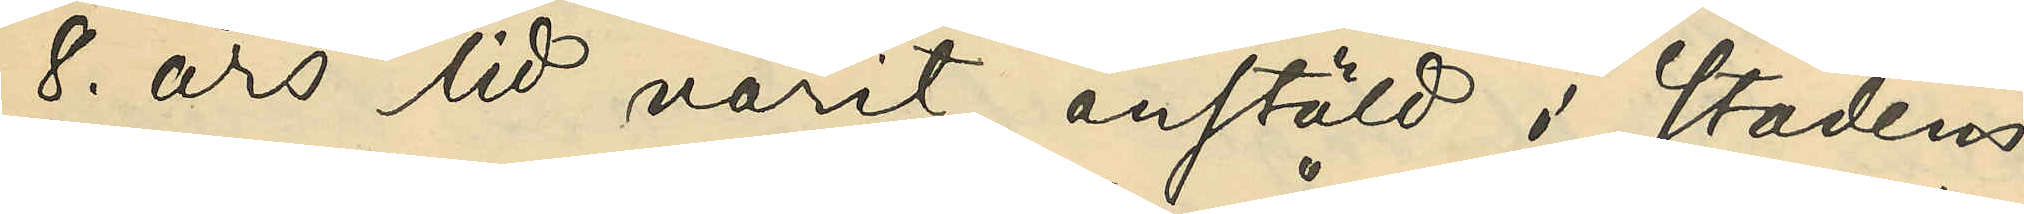8. års tid varit anstäld i stadens
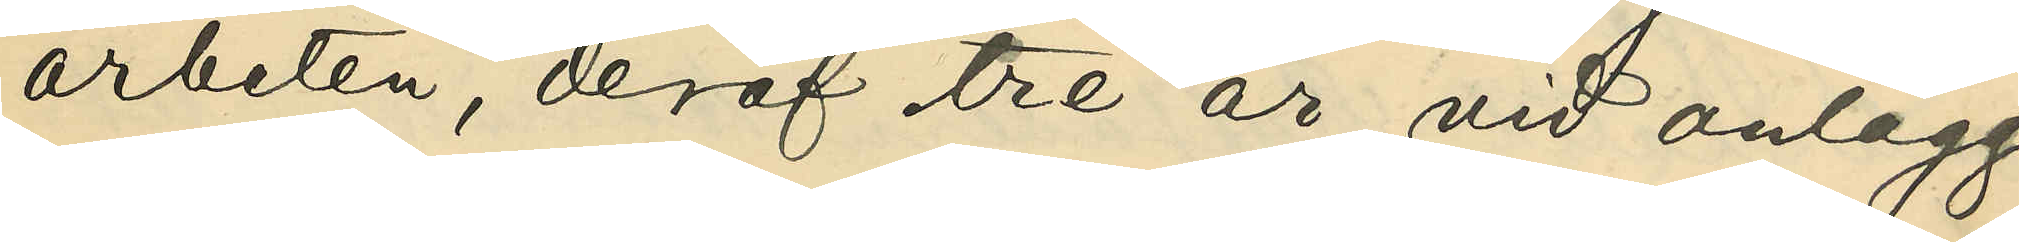arbeten, deraf tre år vid anlägg¬
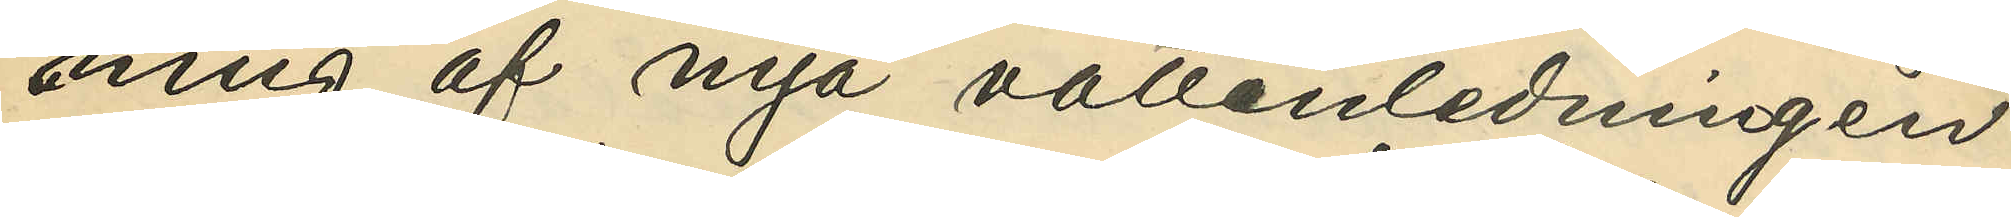ning af nya vattenledningen
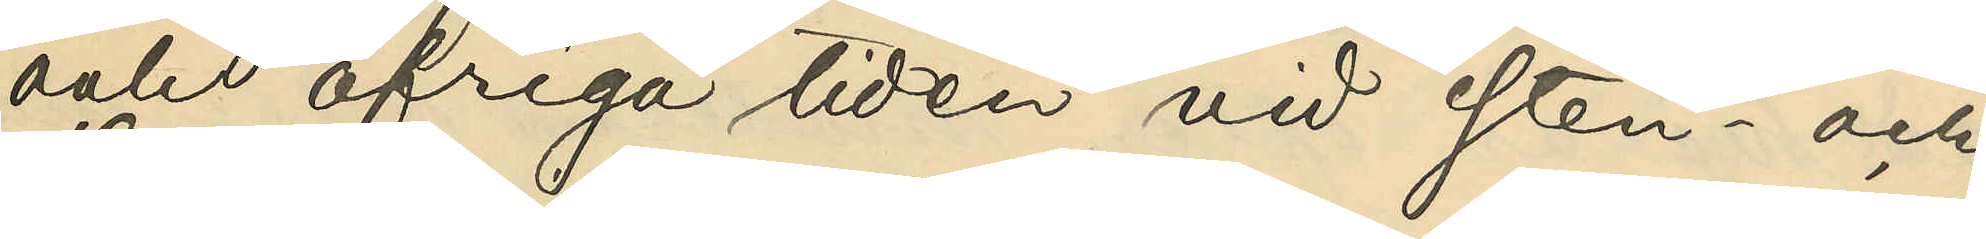och öfriga tiden vid sten- och
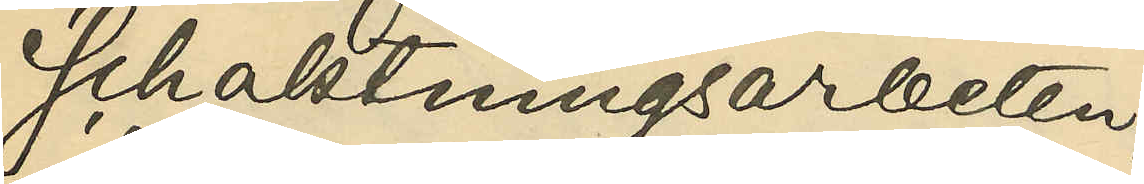schaktningsarbeten;
